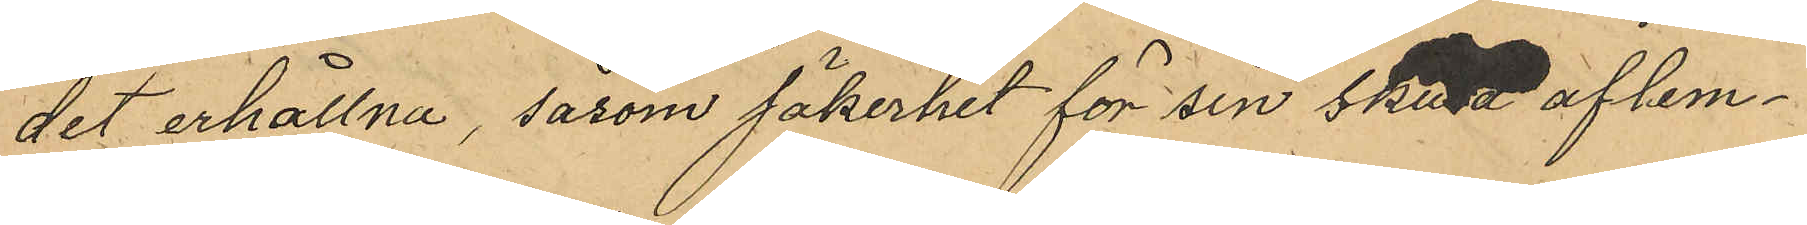det erhållna, såsom säkerhet för sin skuld aflem¬
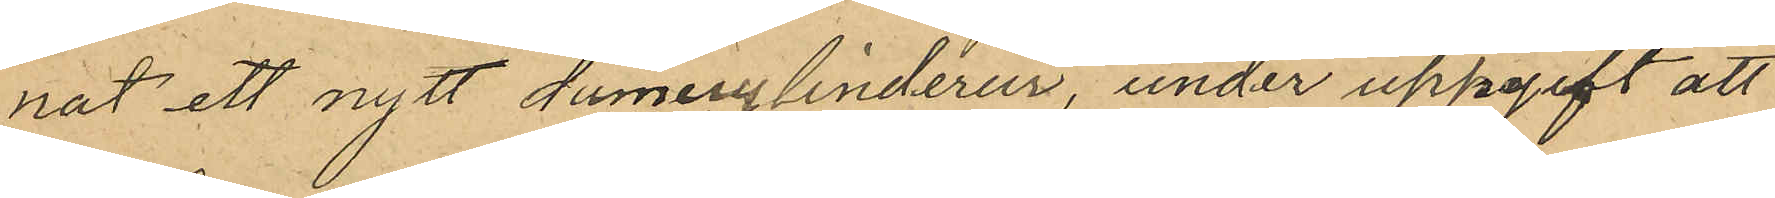nat ett nytt damecylinderur, under uppgift att
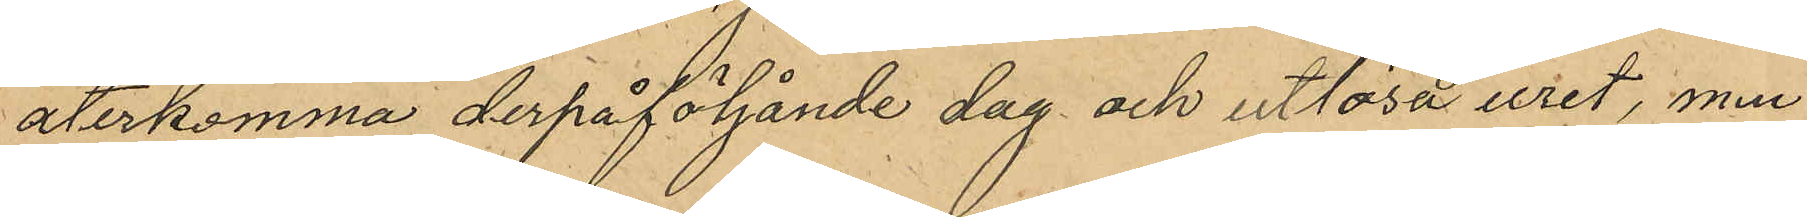återkomma derpåföljande dag och utlösa uret, men
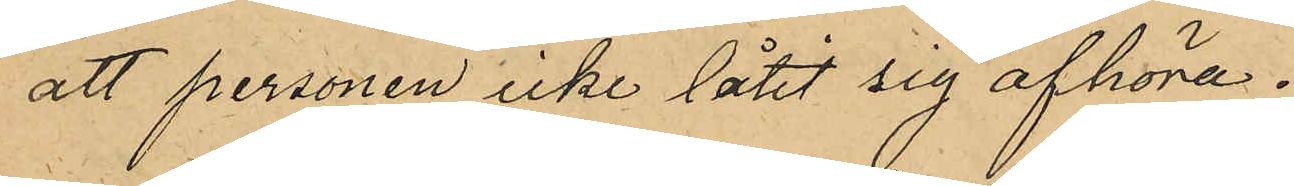att personen icke låtit sig afhöra.
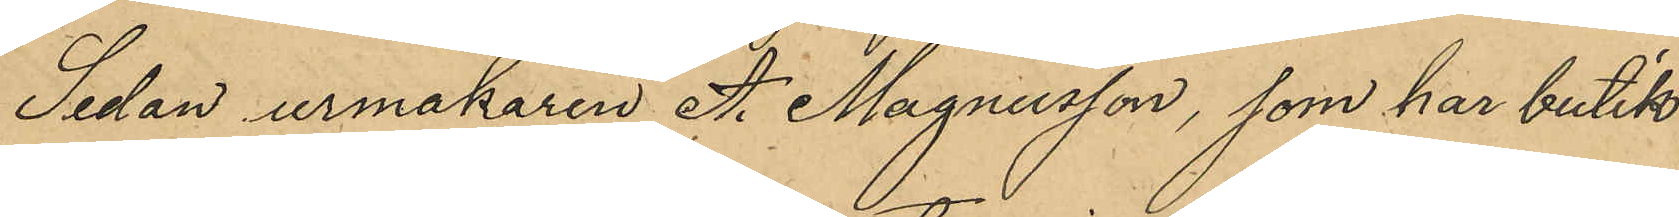Sedan urmakaren A. Magnusson, som har butik
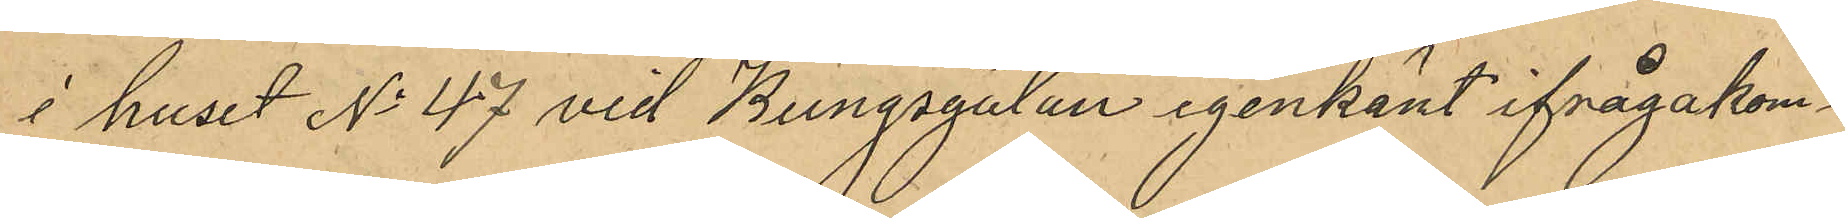i huset No 47 vid Kungsgatan igenkänt ifrågakom¬
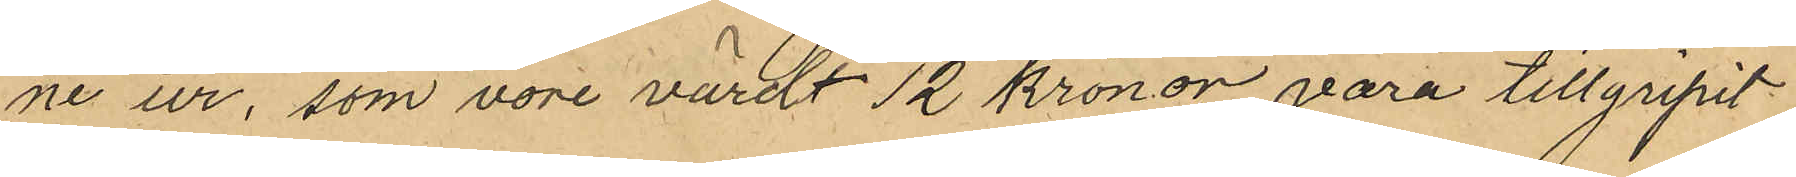ne ur, som vore värdt 12 kronor vara tillgripit
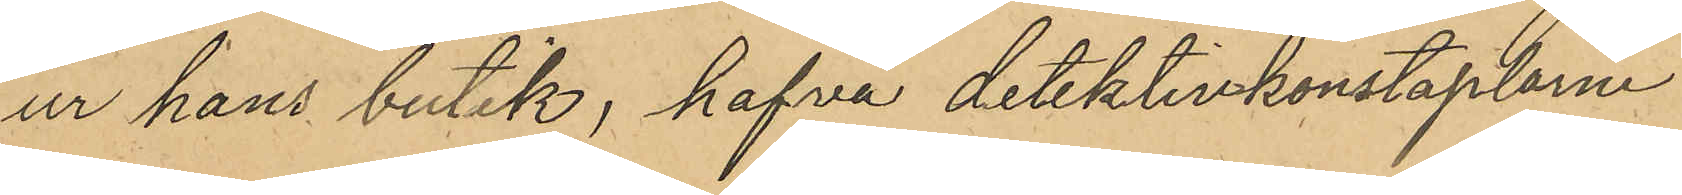ur hans butik, hafva detektivkonstaplarne
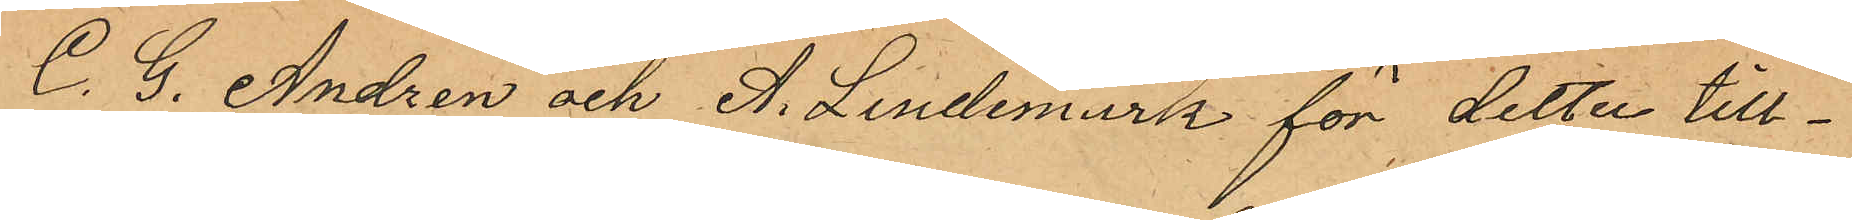C. G. Andrén och A. Lindemark för detta till¬
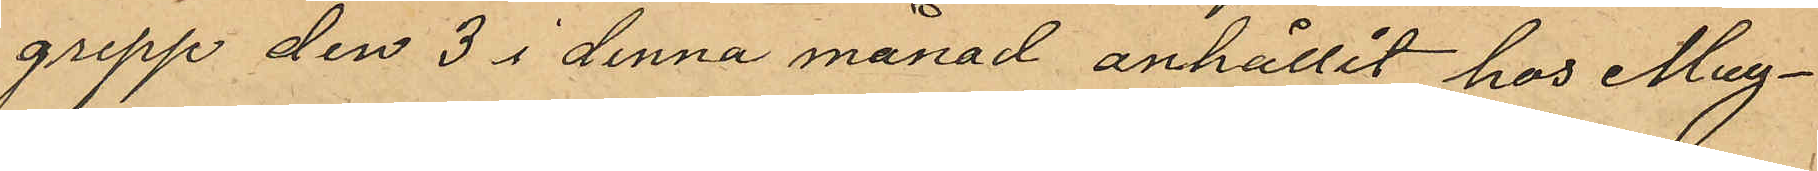grepp den 3 i denna månad anhållit hos Mag¬
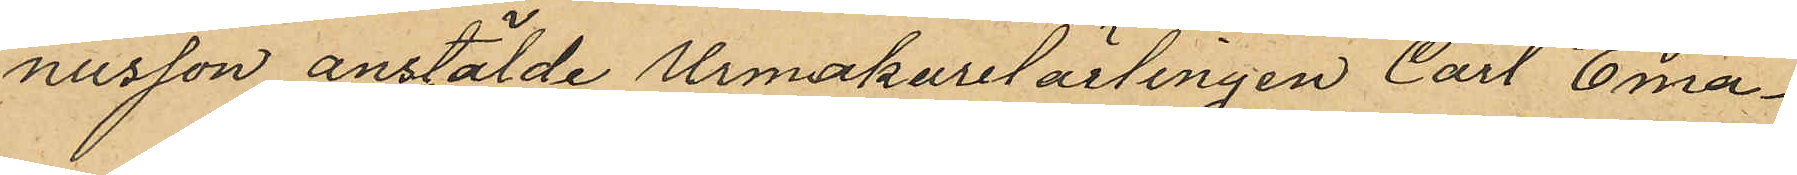nusson anstälde Urmakarelärlingen Carl Ema¬
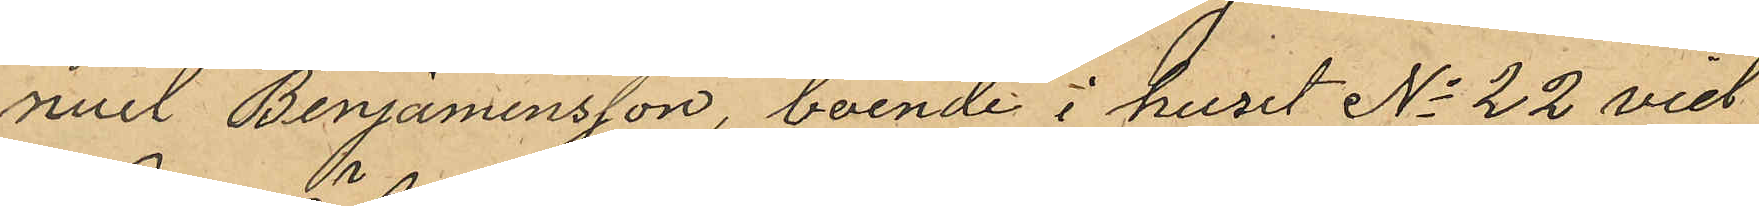nuel Benjaminsson, boende i huset No 22 vid
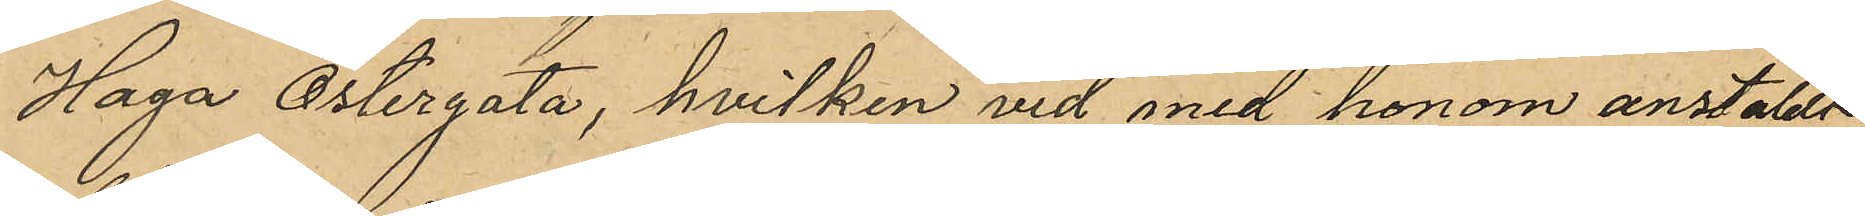Haga Östergata, hvilken vid med honom anstäldt
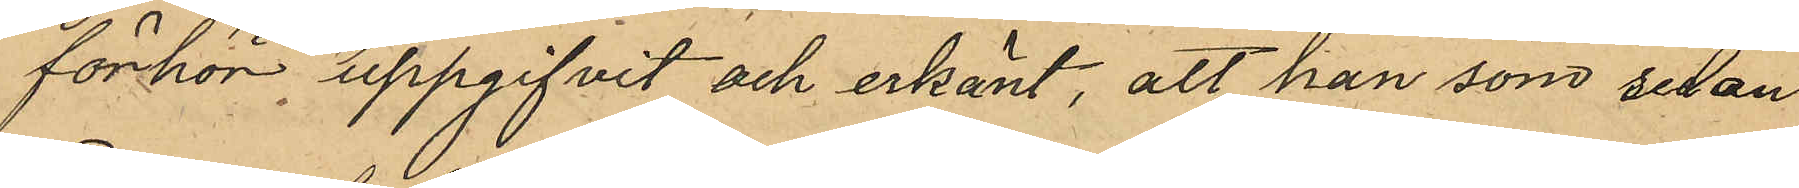förhör uppgifvit och erkänt, att han som sedan
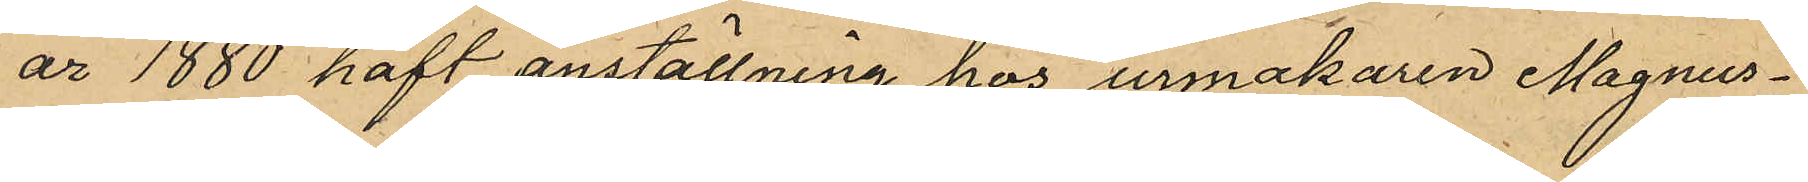år 1880 haft anställning hos urmakaren Magnus¬
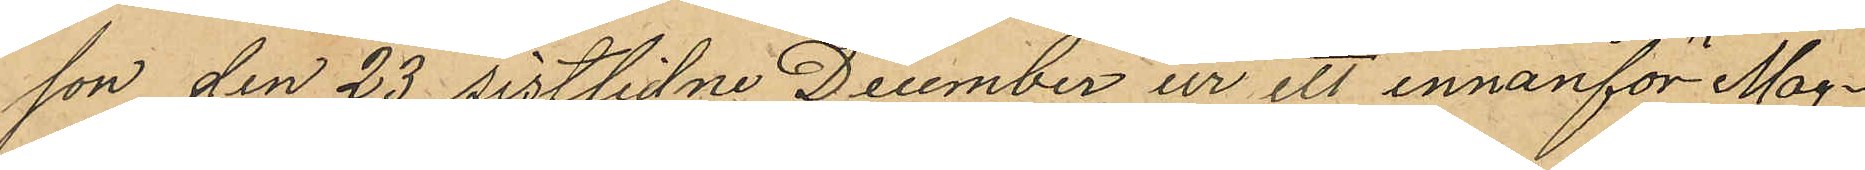son den 23 sistlidne December ur ett innanför Mag¬
